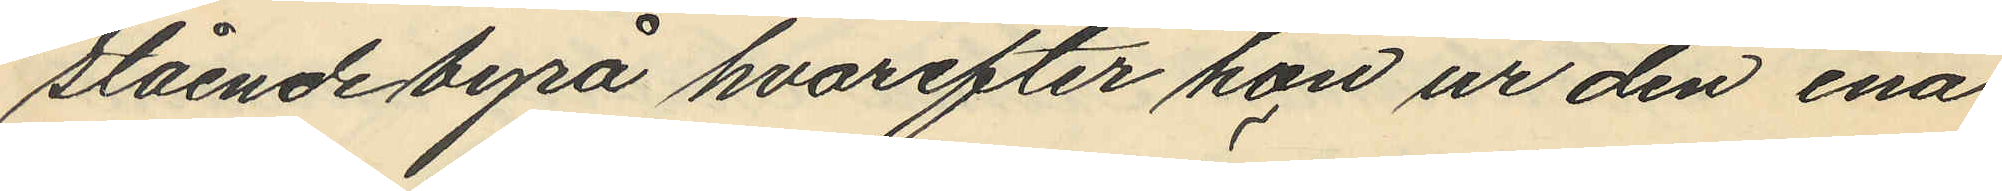stående byrå hvarefter hon ur den ena
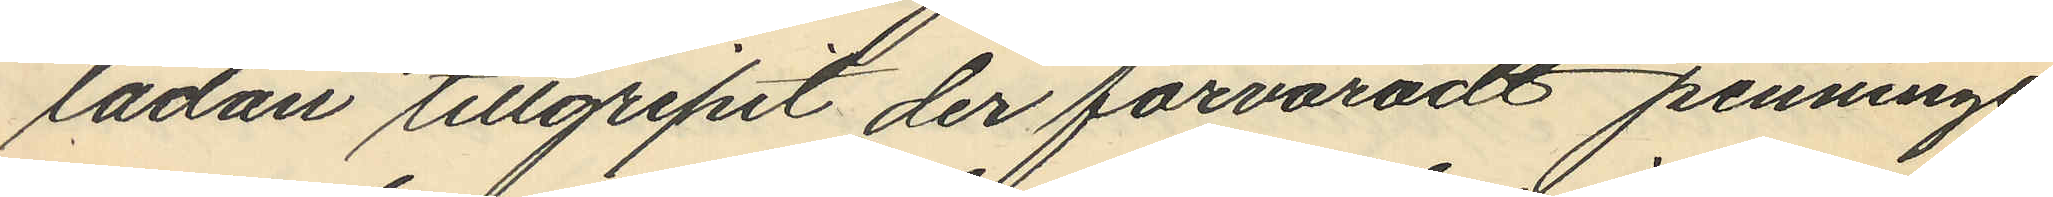lådan tillgripit der förvaradt penninge
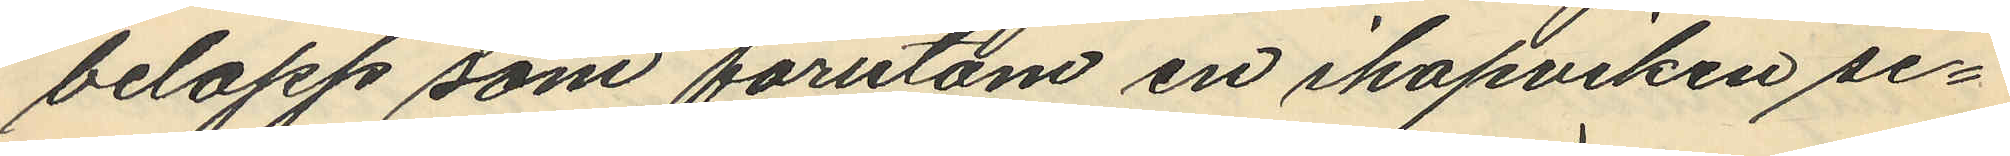belopp som förutom en ihopviken se¬
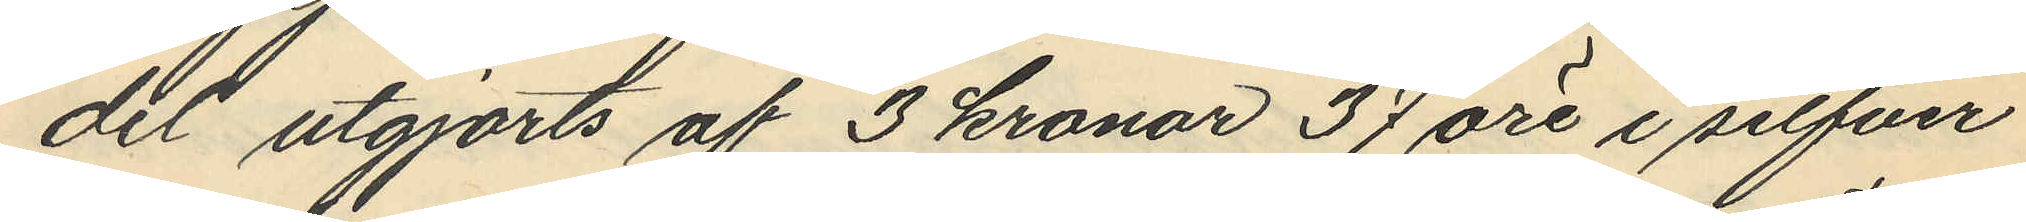dit utgjorts af 3 kronor 37 öre i silfver
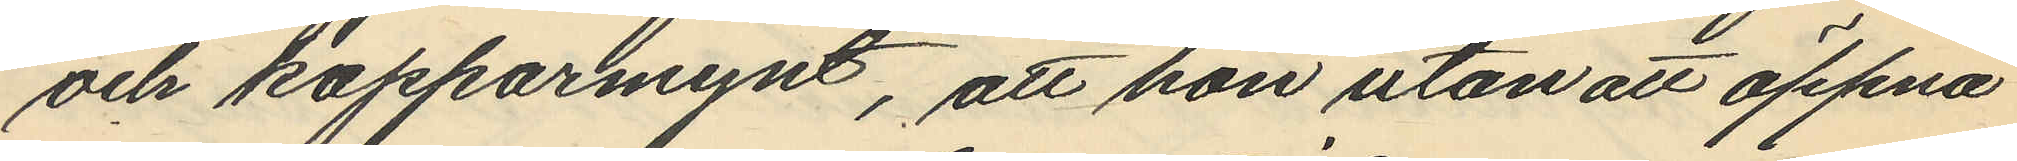och kopparmynt, att hon utan att öppna
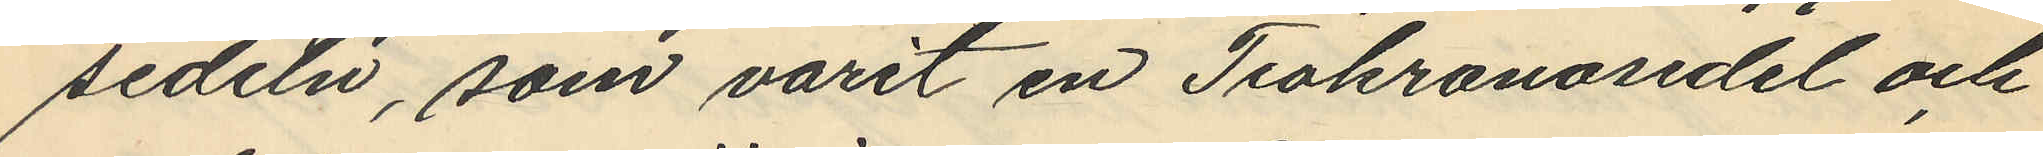sedeln, som varit en Tiokronosedel och
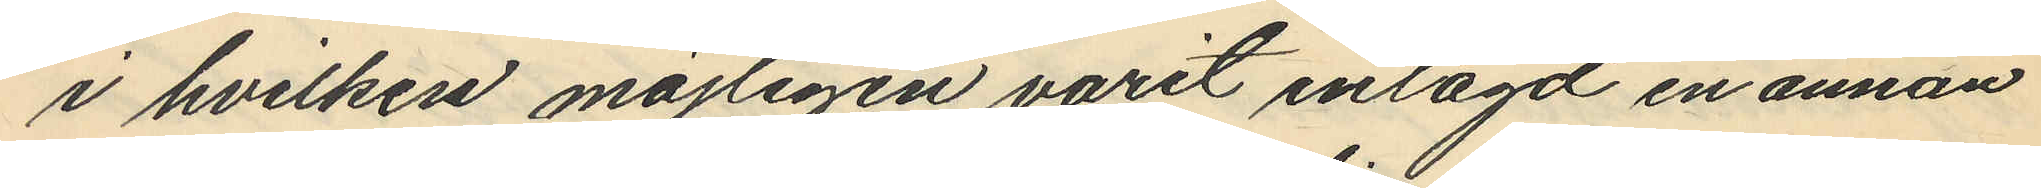i hvilken möjligen varit inlagd en annan
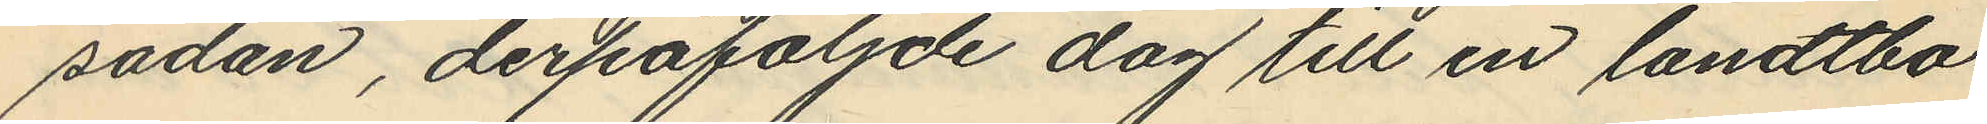sådan, derpåföljde dag till en landtbo
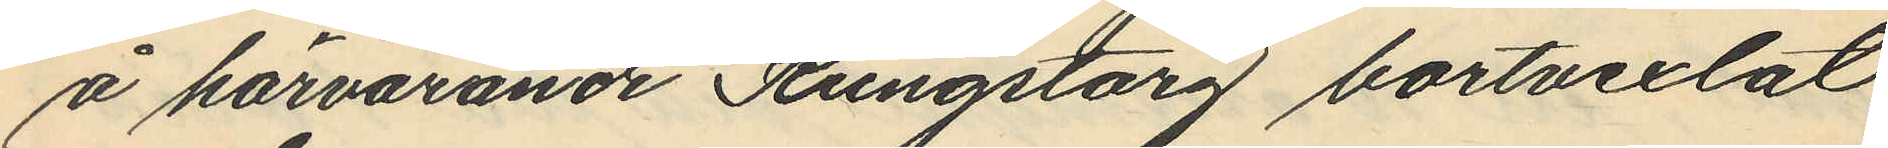å härvarande Kungstorg bortvexlat
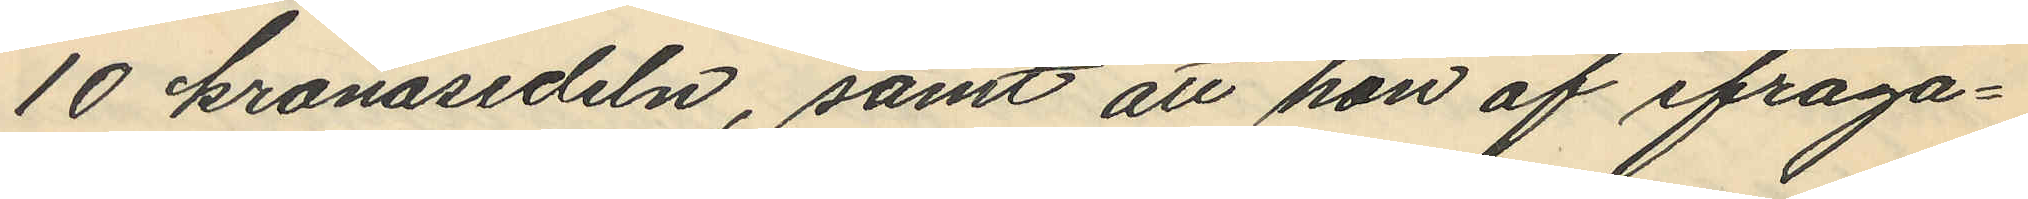10 kronosedeln, samt att hon af ifråga¬
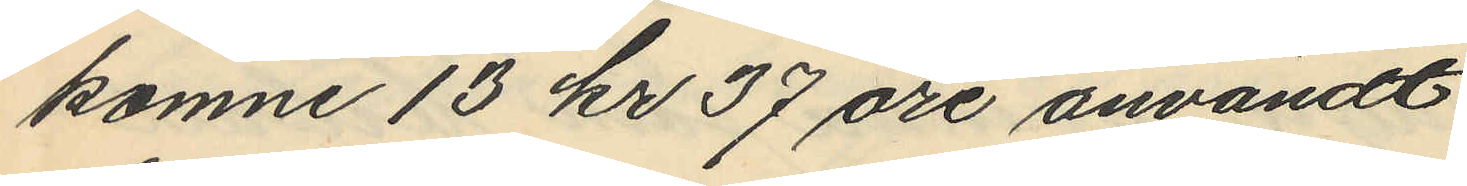komne 13 kr 37 öre användt
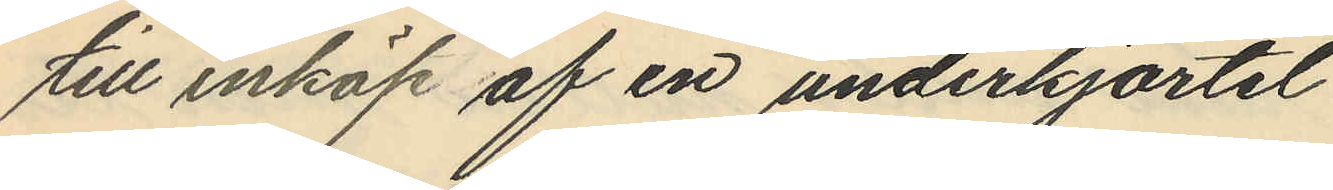till inköp af en underkjortel
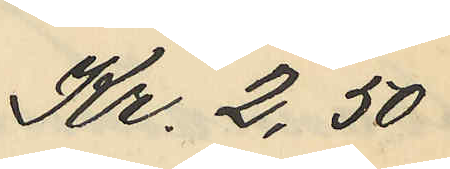Kr. 2,50
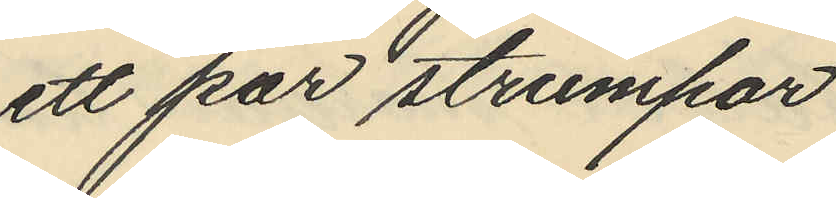ett par strumpor
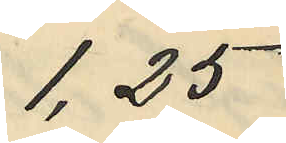1,25
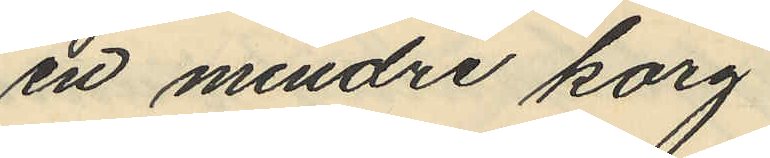en mindre korg
